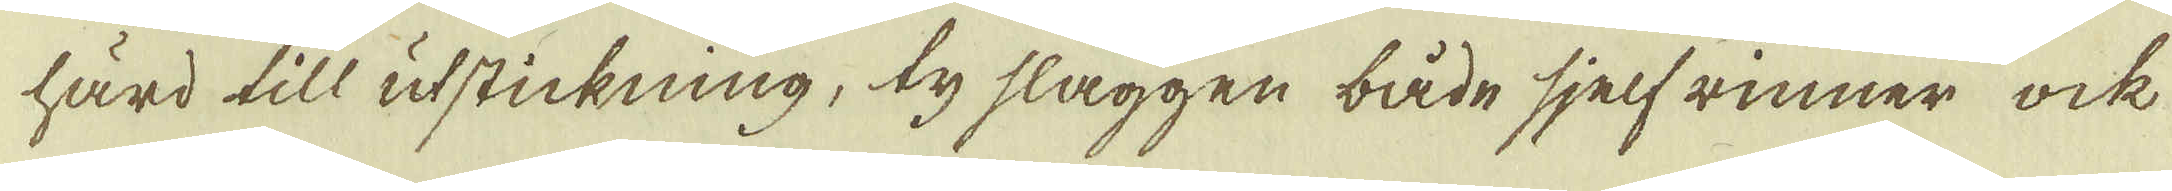härd till utstickning, ty slaggen både sjelf rinner ock
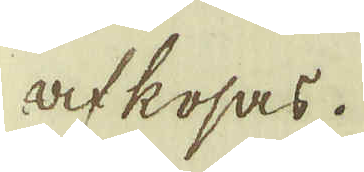af kosas.
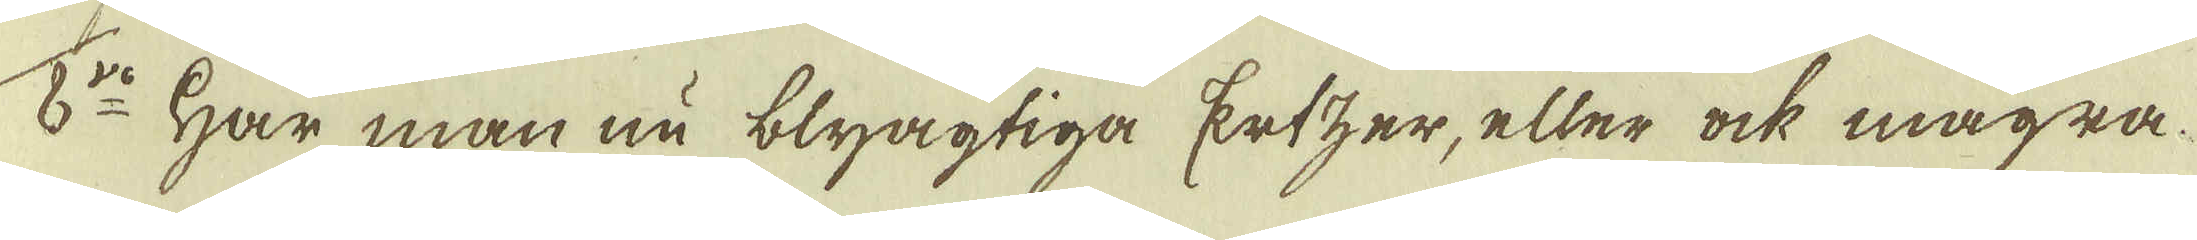8:vo Har man nu blyagtiga Ertzer, eller ock magra
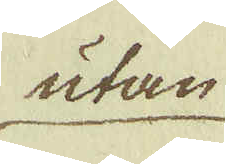utan
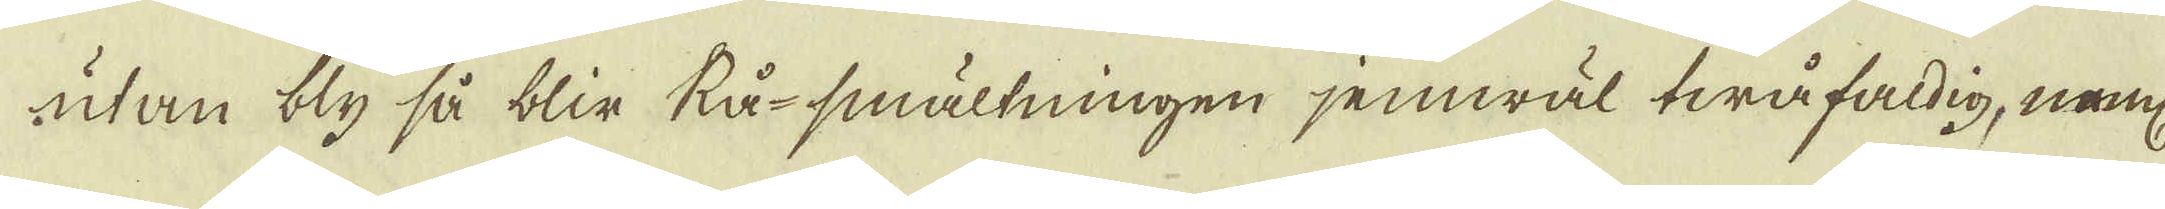utan bly så blir Rå-smältningen jemwäl twåfaldig, neml:
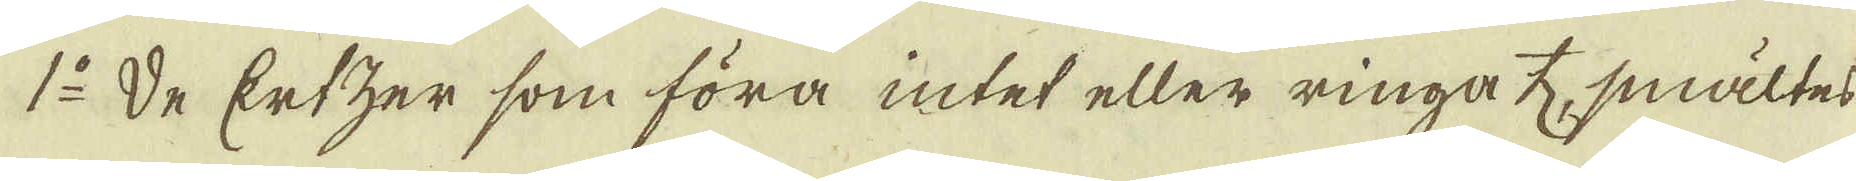1:o De Ertzer som föra intet eller ringa ♄, smältes
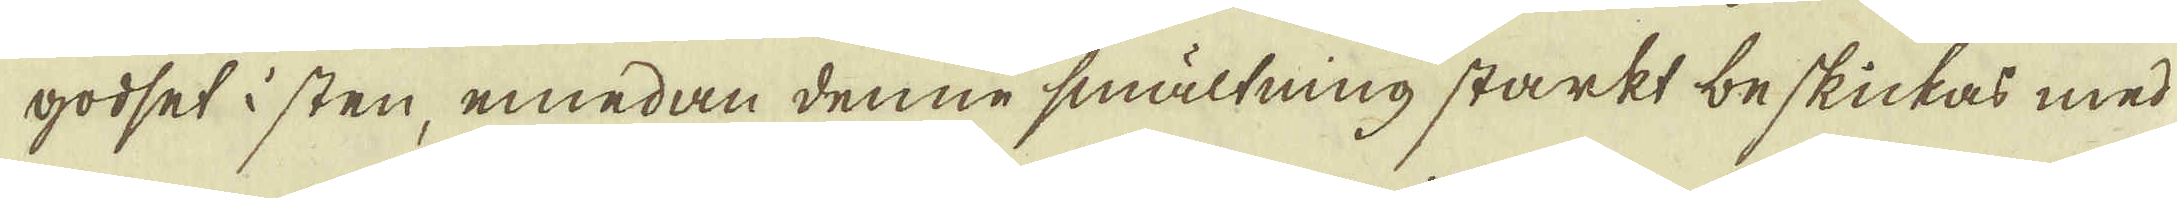godset i sten, emedan denne smältning starkt beskickas med
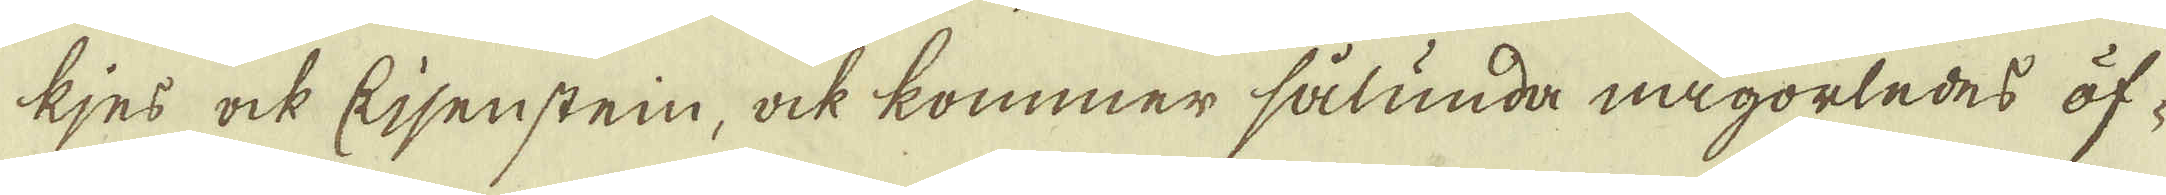kjes ock Eisensten, ock kommer sålunda någorledes öf-
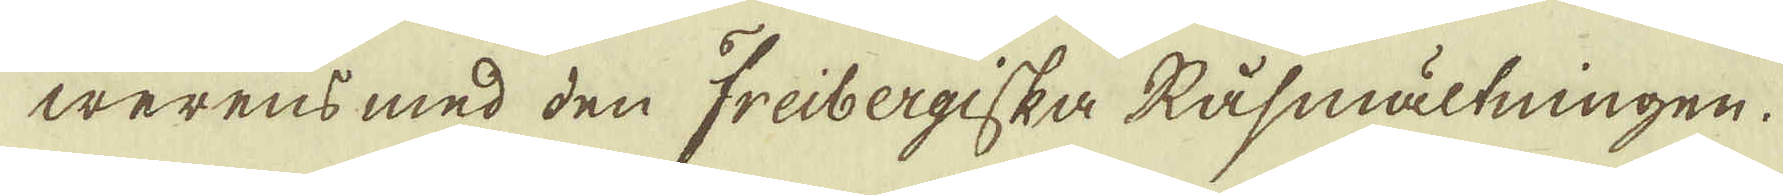werens med den Freibergiska Råsmältningen.
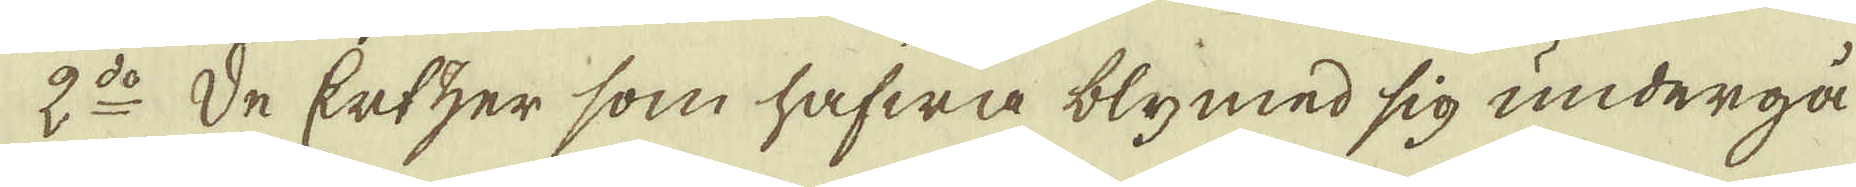2:do De Erzer som hafwa bly med sig undergå
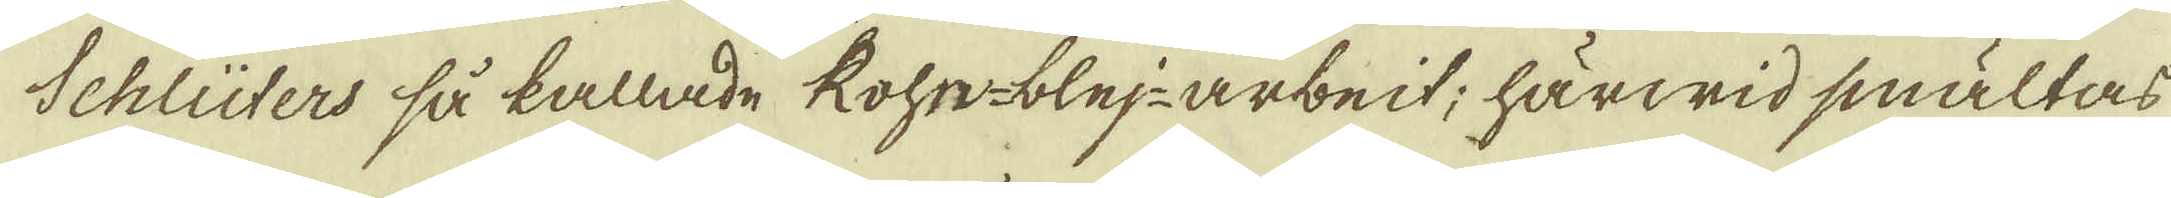Schlüters så kallade Rohr-blej-arbeit; härwid smältas,
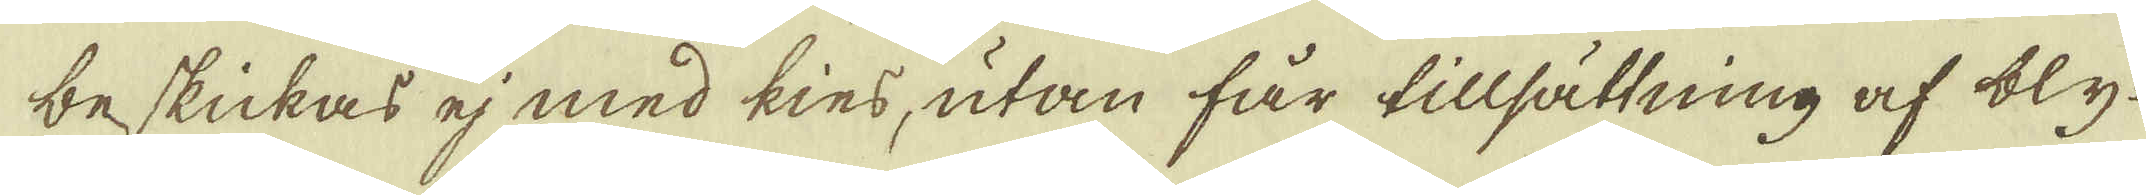beskickas ej med kies, utan får tillsättning af bly-
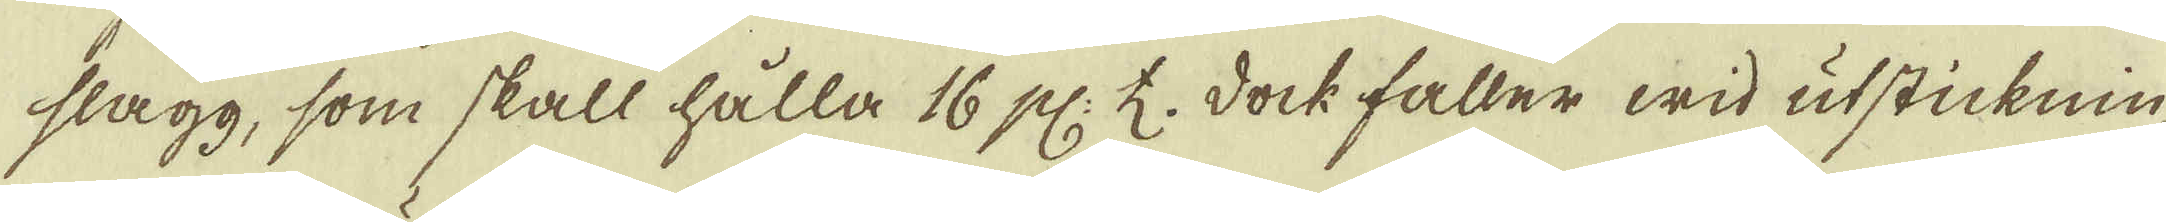slagg, som skall hålla 16 pl: ♄. dock faller wid utsticknin-
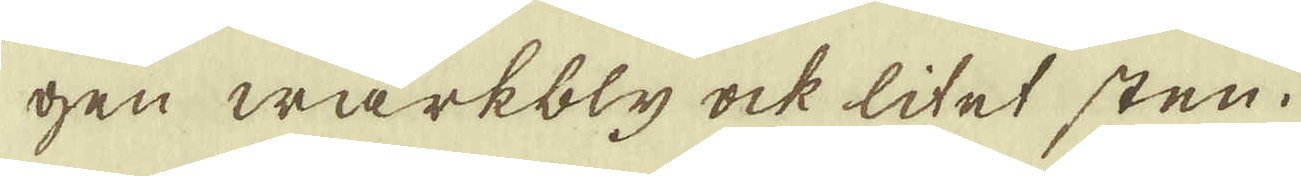gen wärkbly ock litet sten.
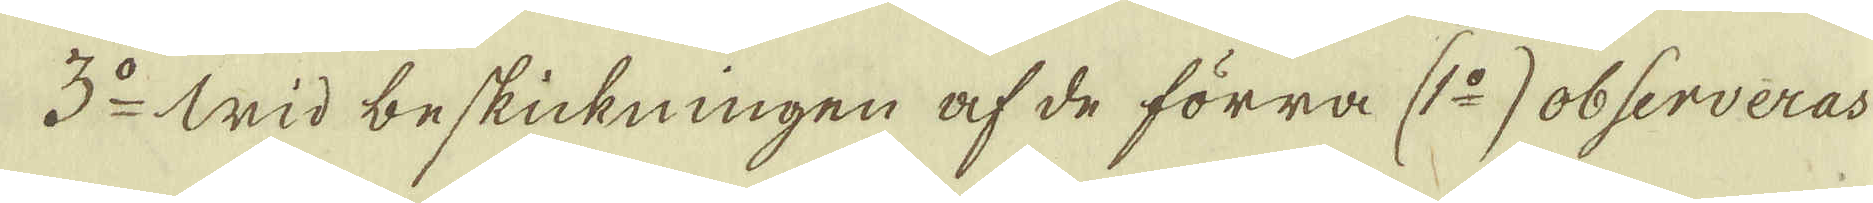3:do Wid beskickningen af de förra (1:o) observeras
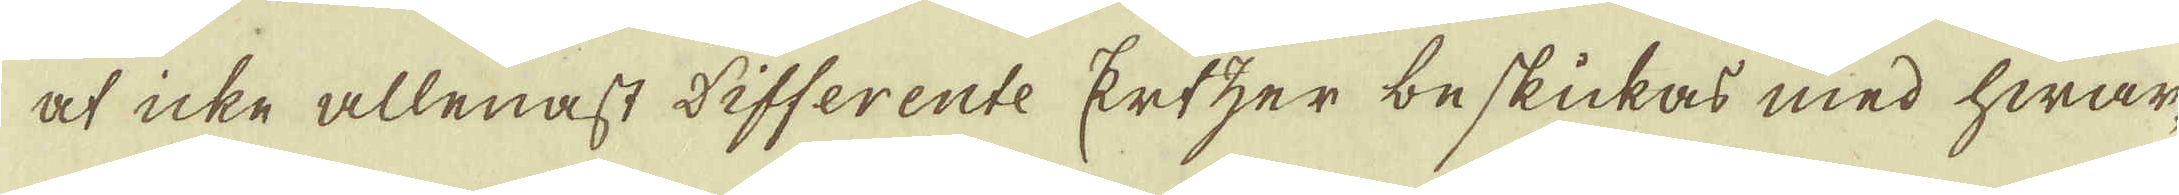at icke allenast differente Ertzer beskickas med hwar-
